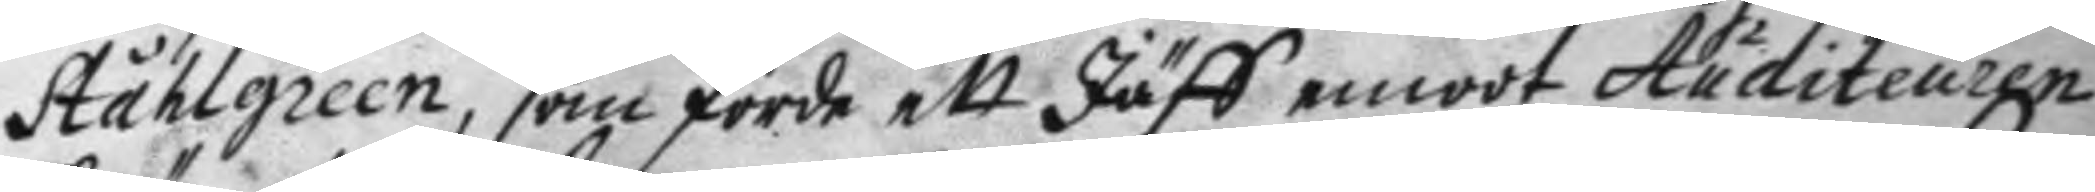Ståhlgreen, som förde ett Jäff emoot Auditeuren
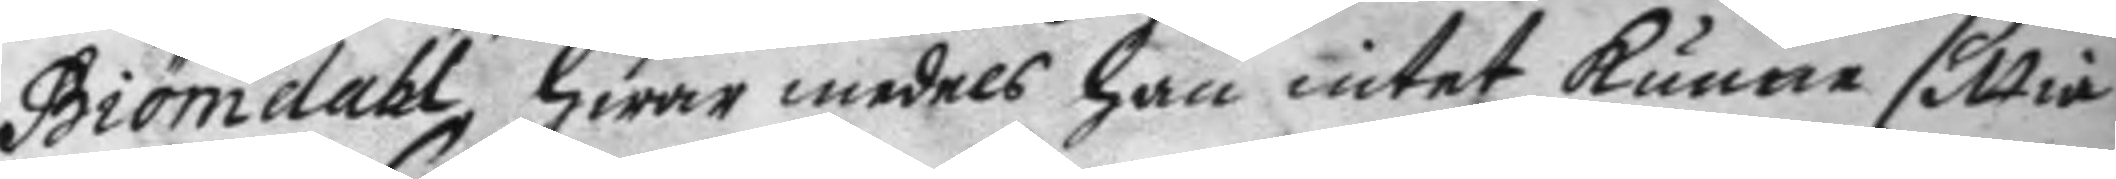Biörndahl, hwar medels han intet kunne sittia
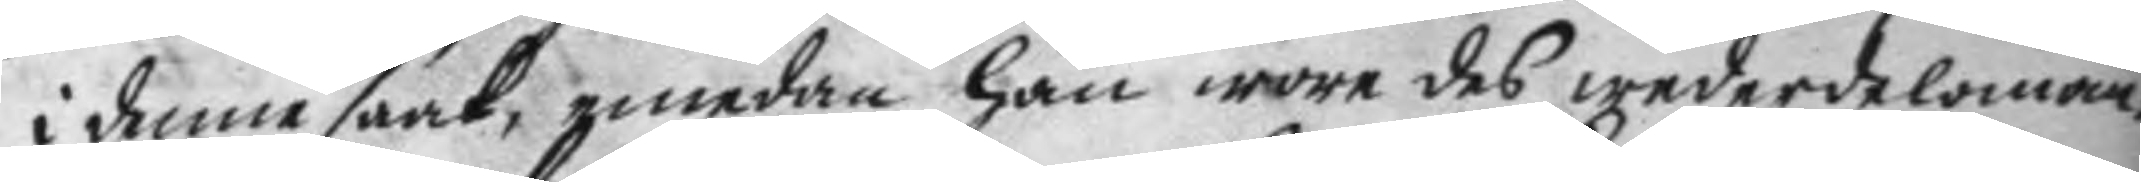i denne saak, emedan han wore des wederdeloman,
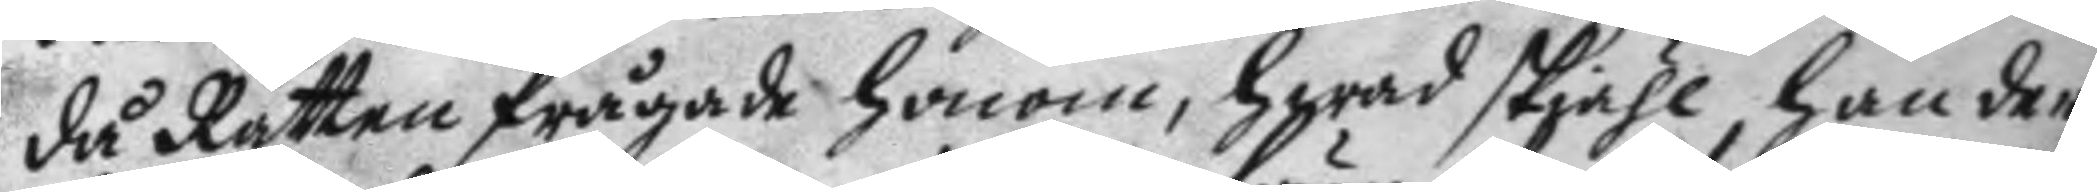då Rätten frågade honom, hwad skiähl han der
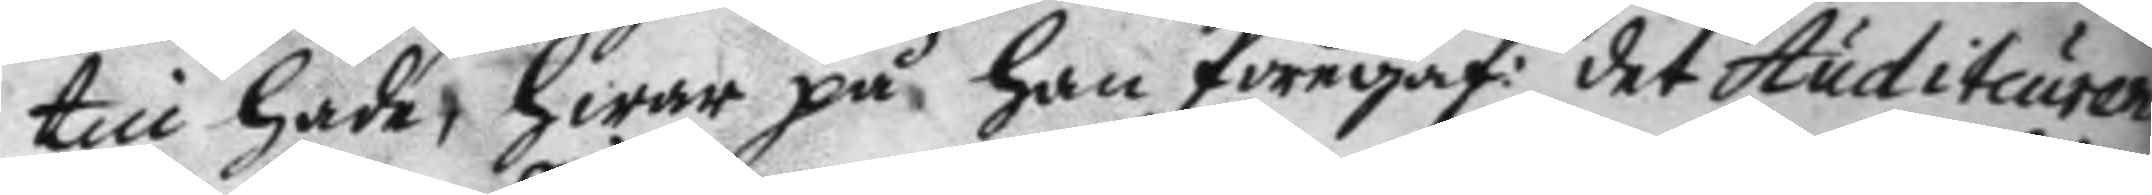till hade, hwar på han föregaf: det Auditeuren
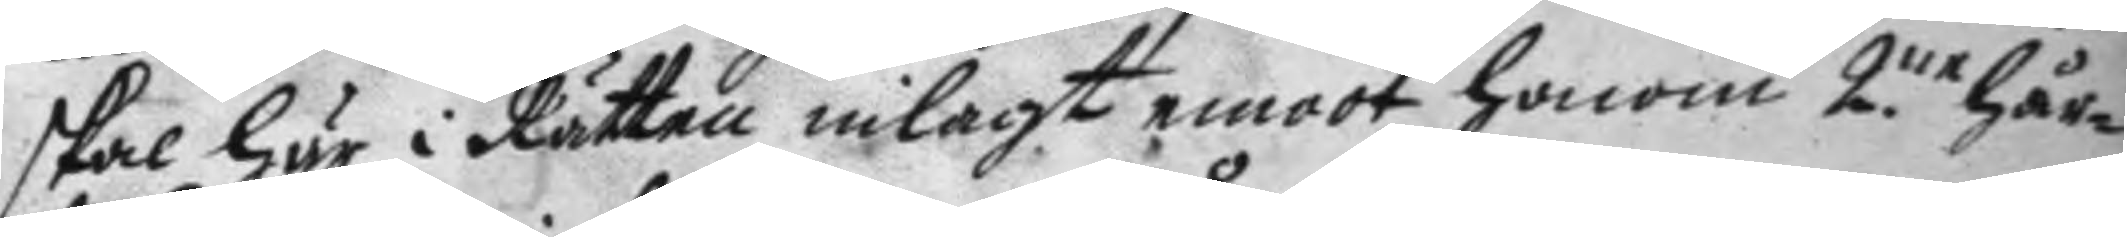skal här i Rätten inlagt emoot honom 2ne hår¬
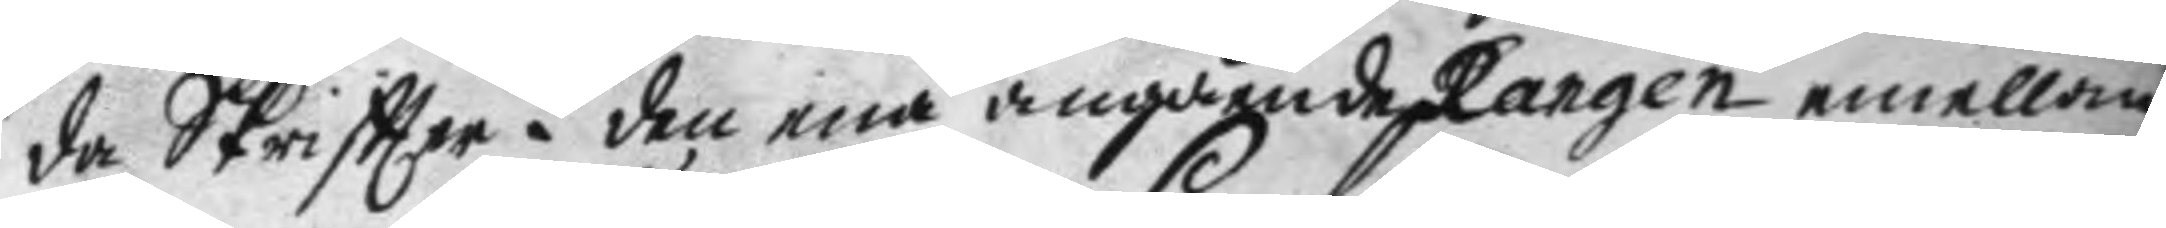da Skriftter i den ena angående Rargen emellan
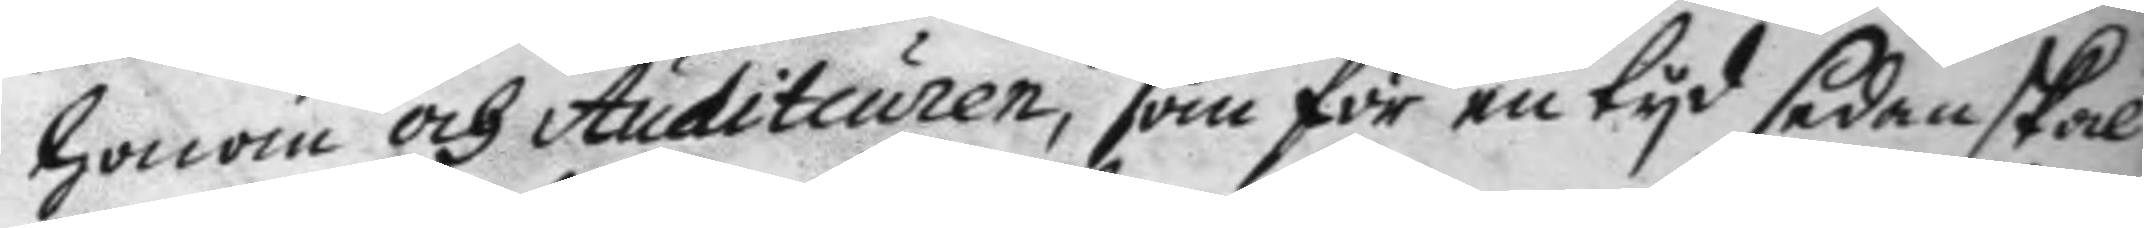honom och Auditeuren, som för en tyd sedan skal
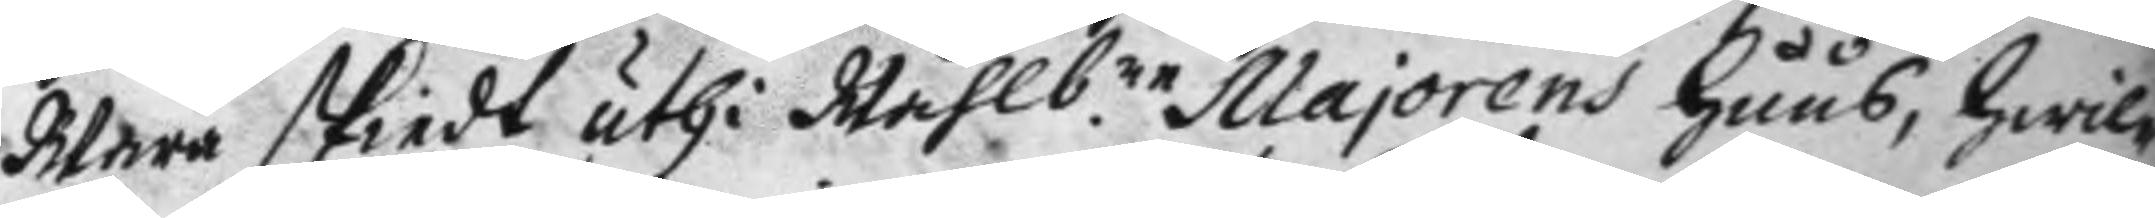wara skiedt uthi Wählbne Majorens huus, hwil¬
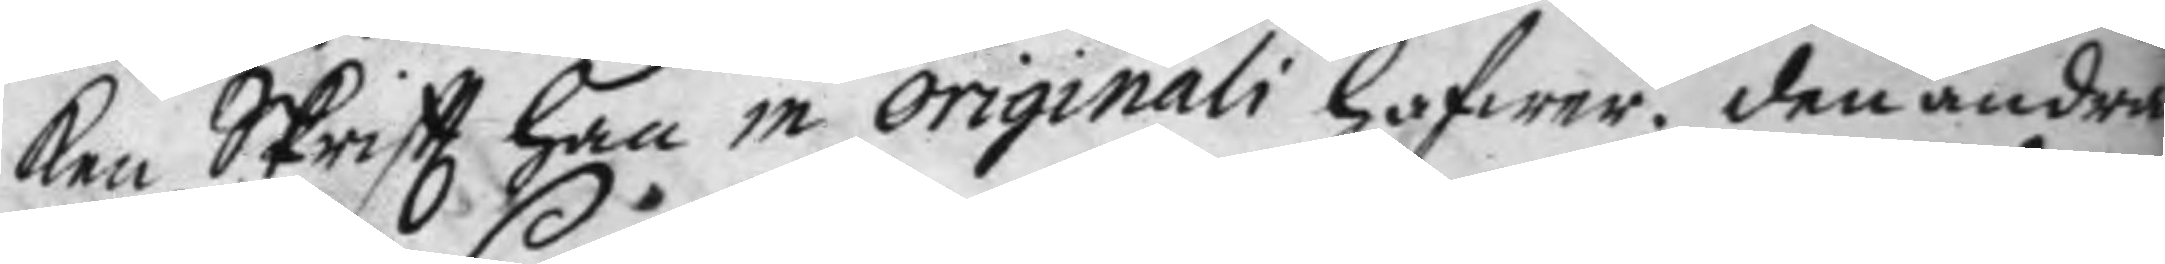ken Skriftt han in originali hafwer, den andra
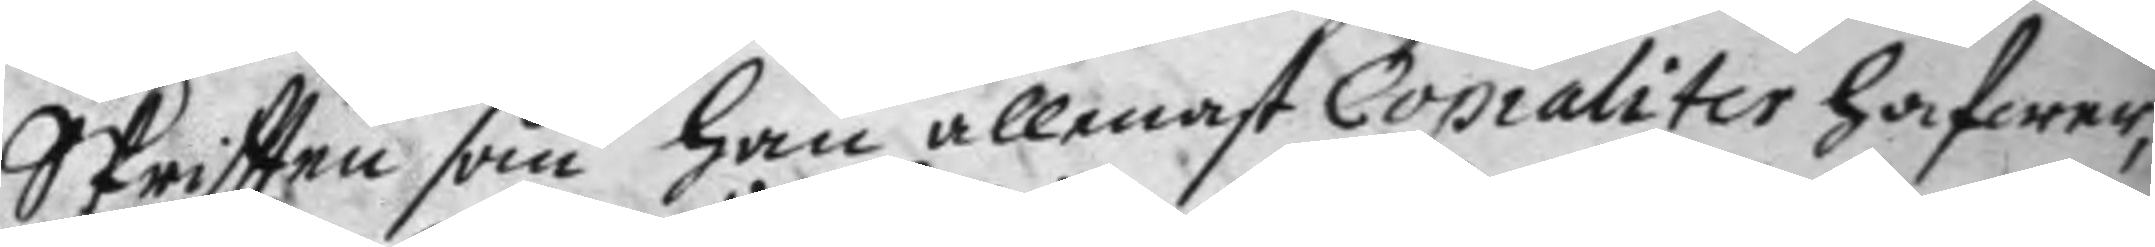Skriftten som han allenast Copialiter hafwer,
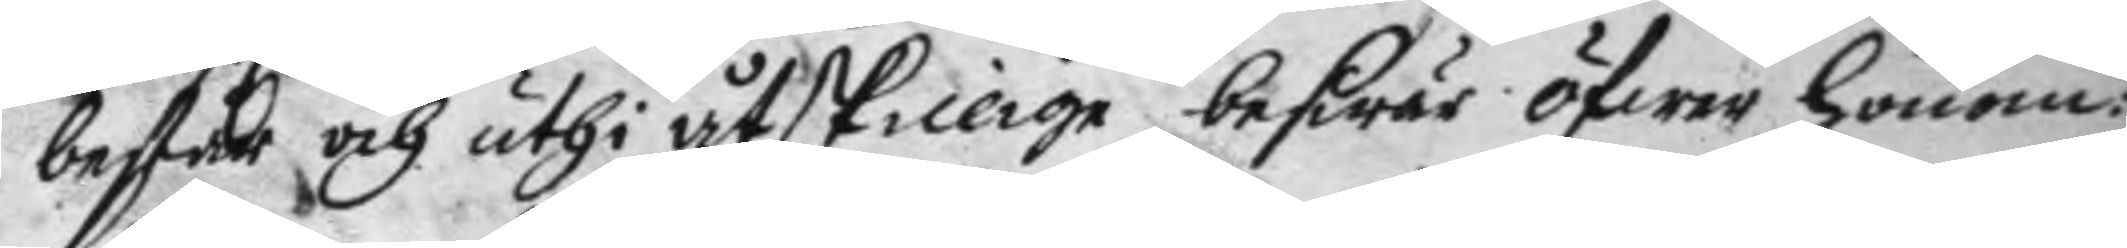består och uthi åtskilige beswär öfwer honom:
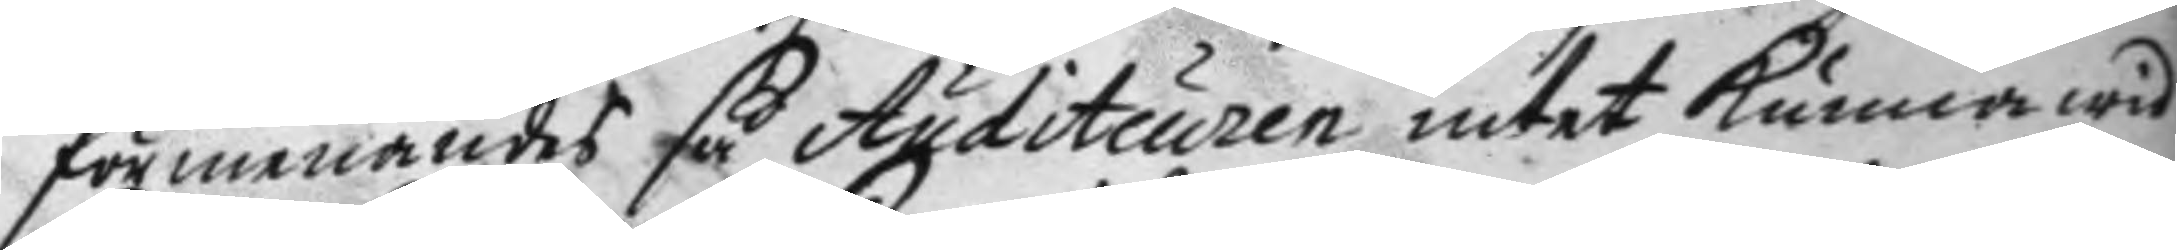förmenandes så Auditeuren intet kunna wid
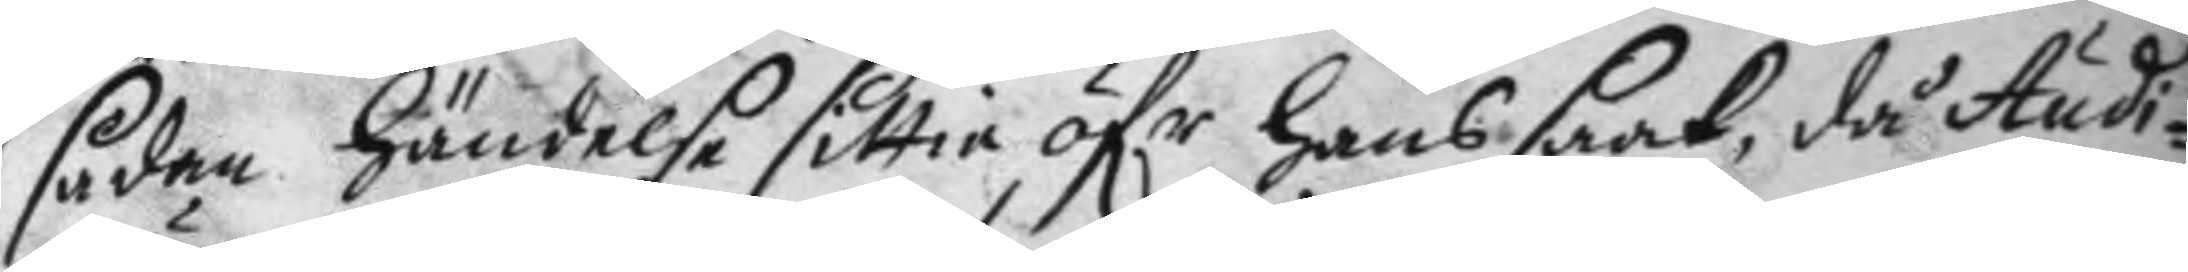sådan hndelse sittia öfr hans saak, då Audi¬
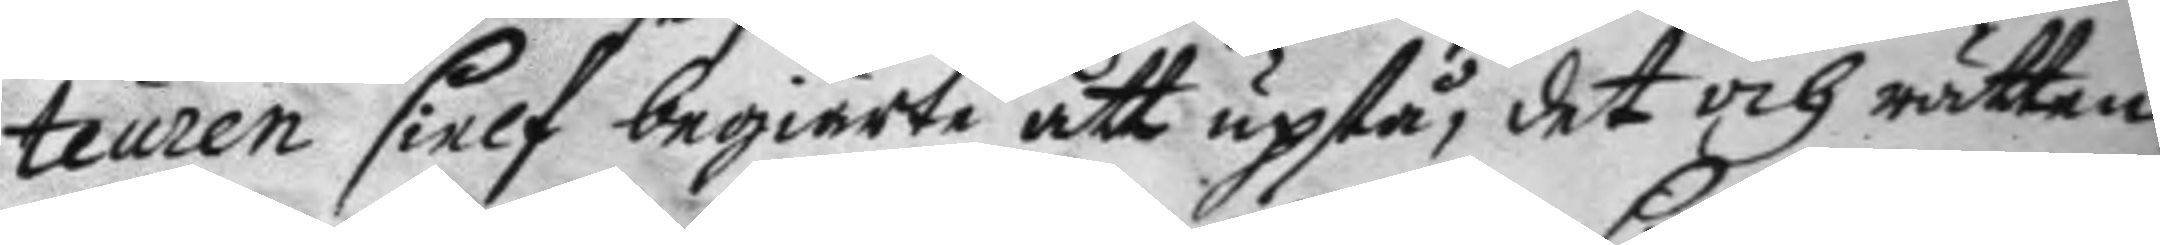teuren sielf begiärte att upstå, det och rätten
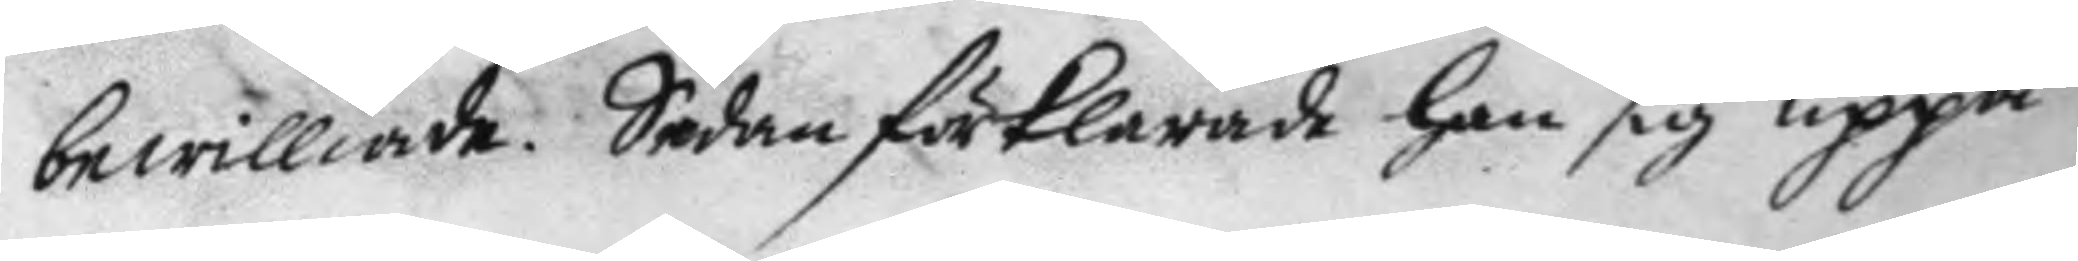bewiliade Sedan förklarade han sig uppå
